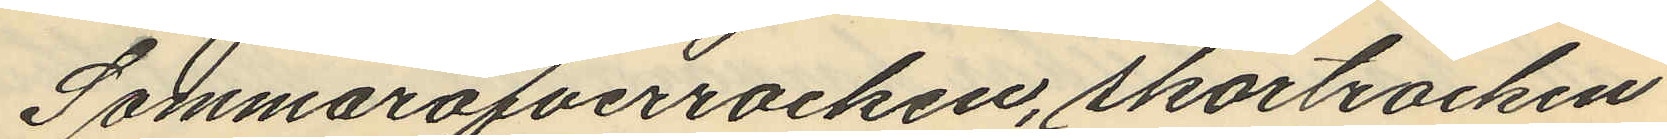Sommaröfverrocken, skörtrocken
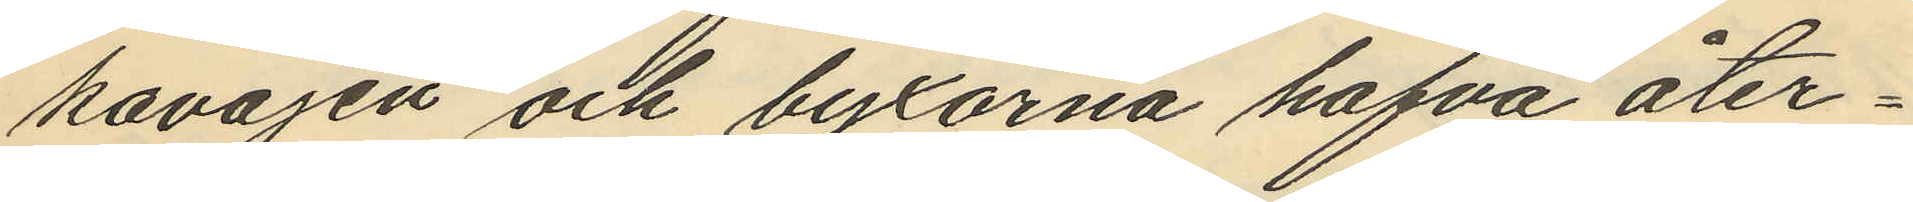kavajen och byxorna hafva åter¬
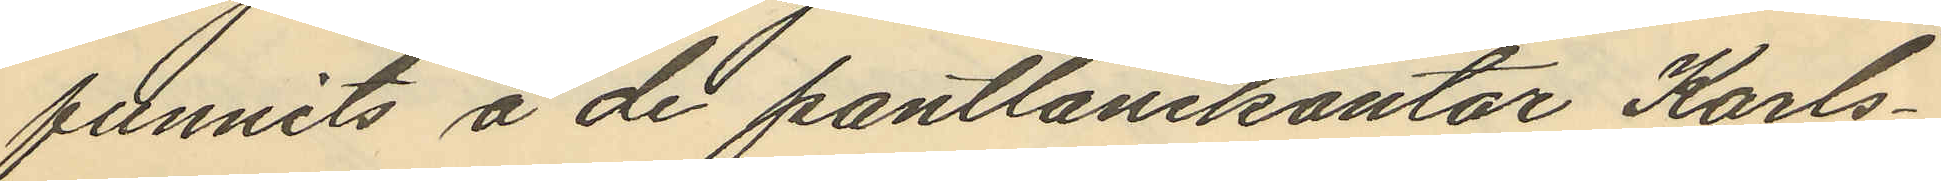funnits å de pantlånekontor Karls¬
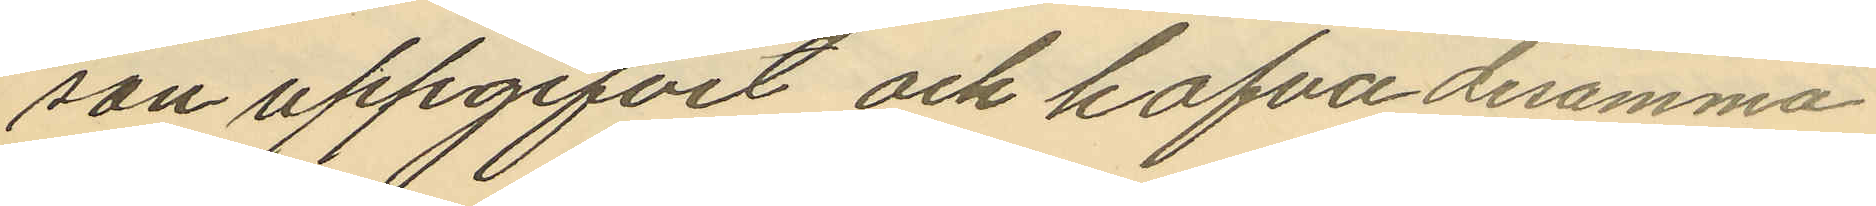son uppgifvit och hafva desamma
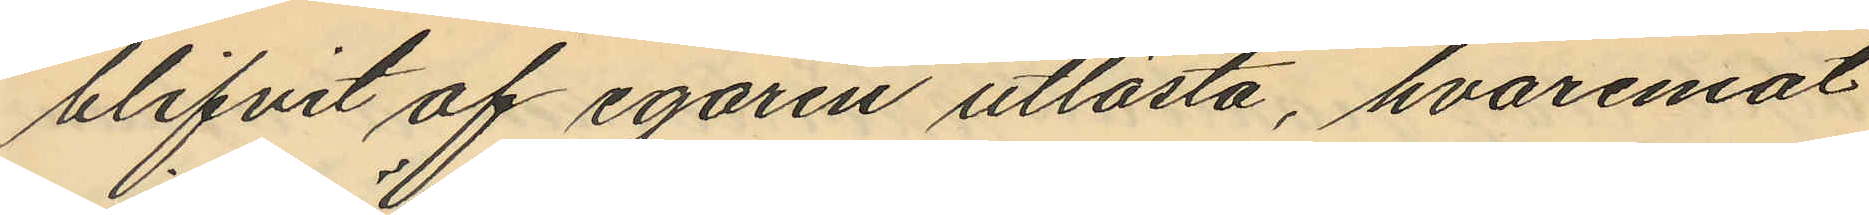blifvit af egaren utlösta, hvaremot
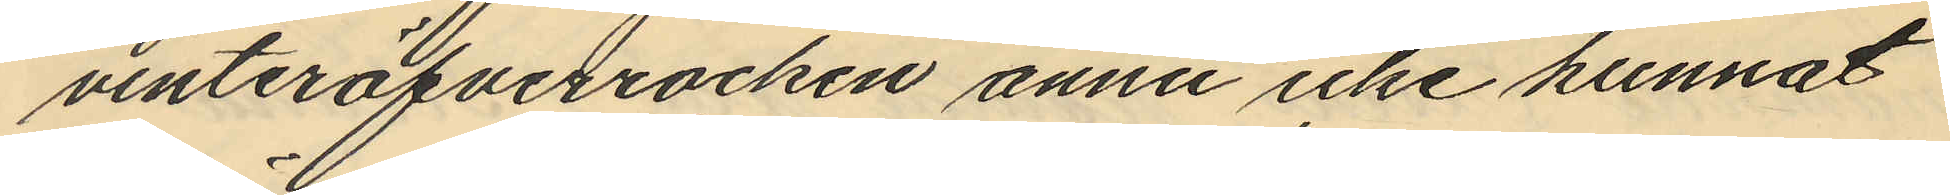vinteröfverrocken ännu icke kunnat
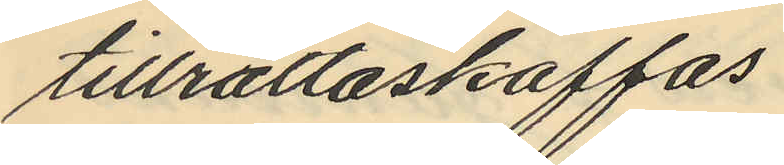tillrättaskaffas.
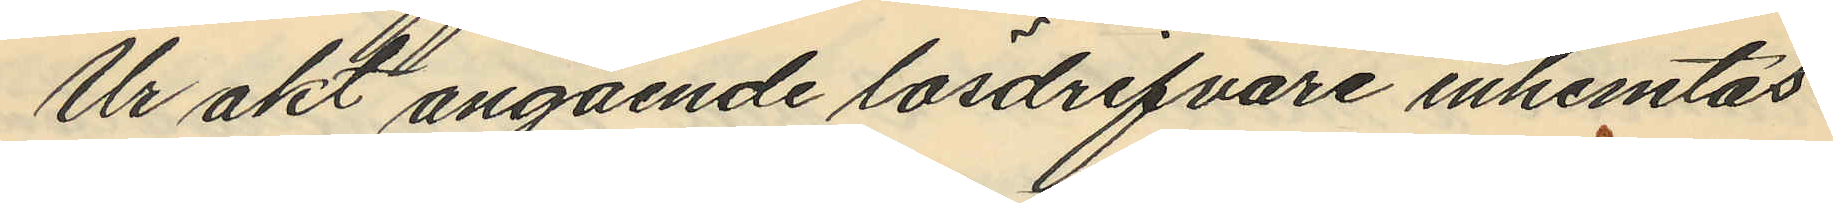Ur akt angående lösdrifvare inhemtas
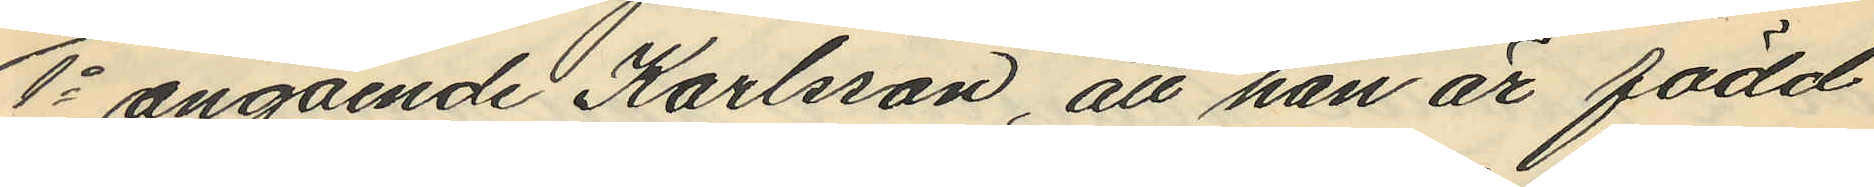1o angående Karlsson, att han är född
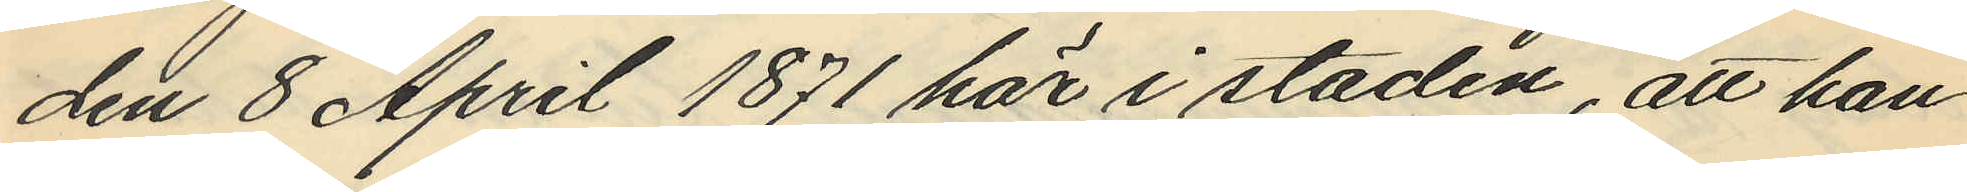den 8 April 1871 här i staden, att han
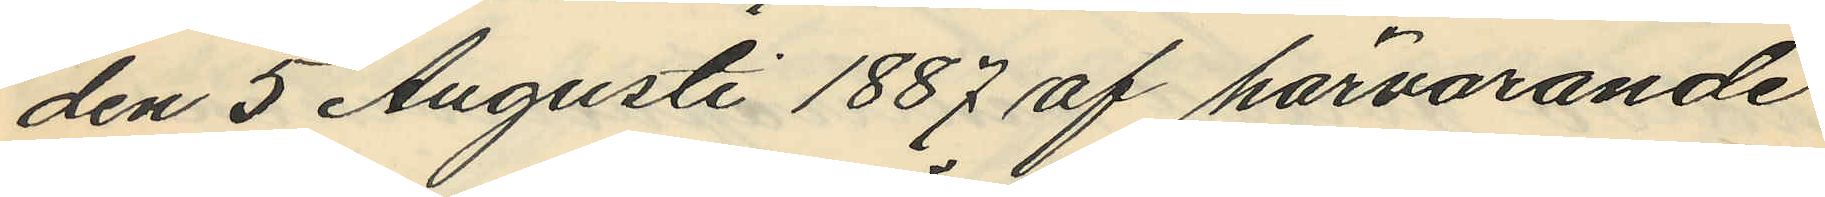den 5 Augusti 1887 af härvarande
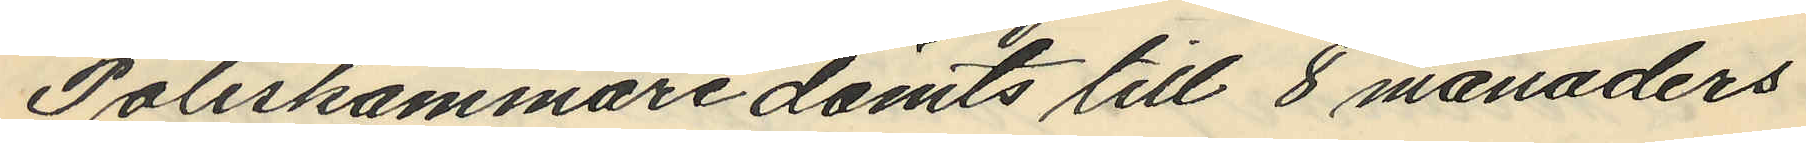Poliskammare dömts till 8 månaders
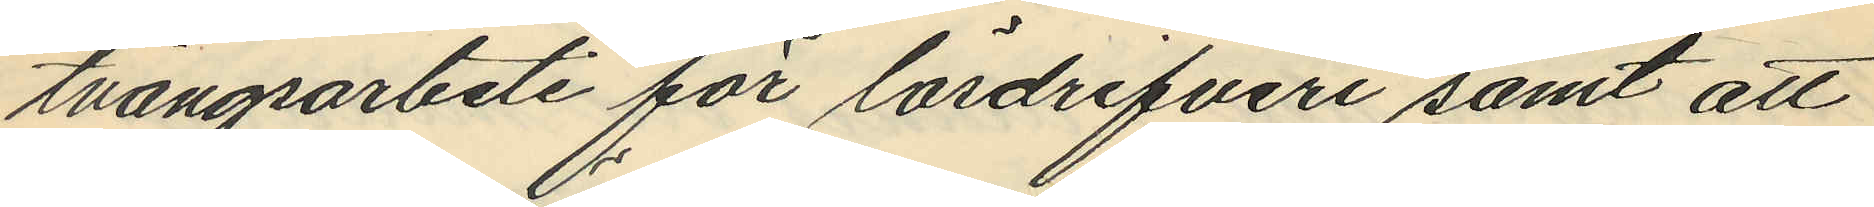tvångsarbete för lösdrifveri samt att
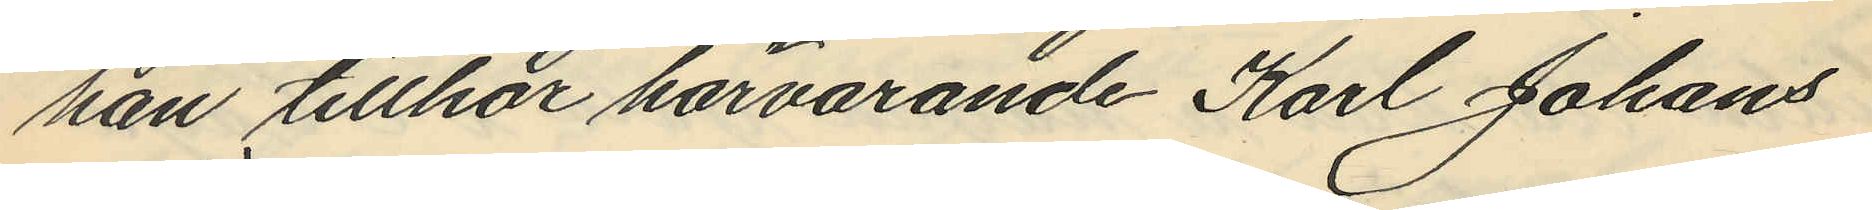han tillhör härvarande Karl Johans
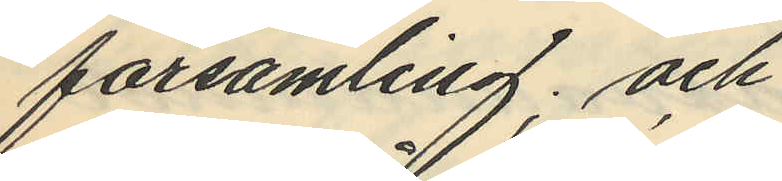församling; och
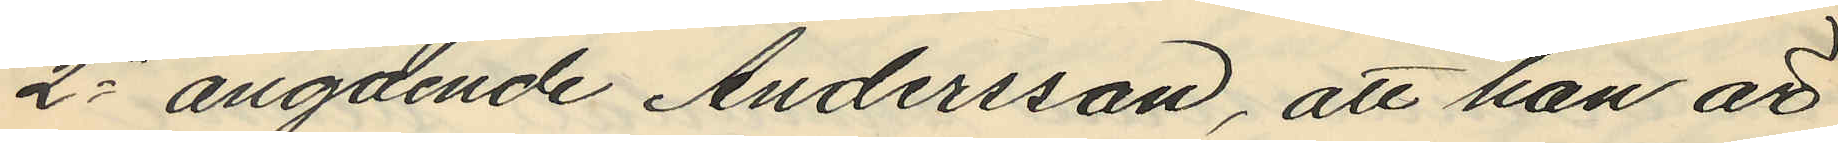2o angående Andersson, att han är
